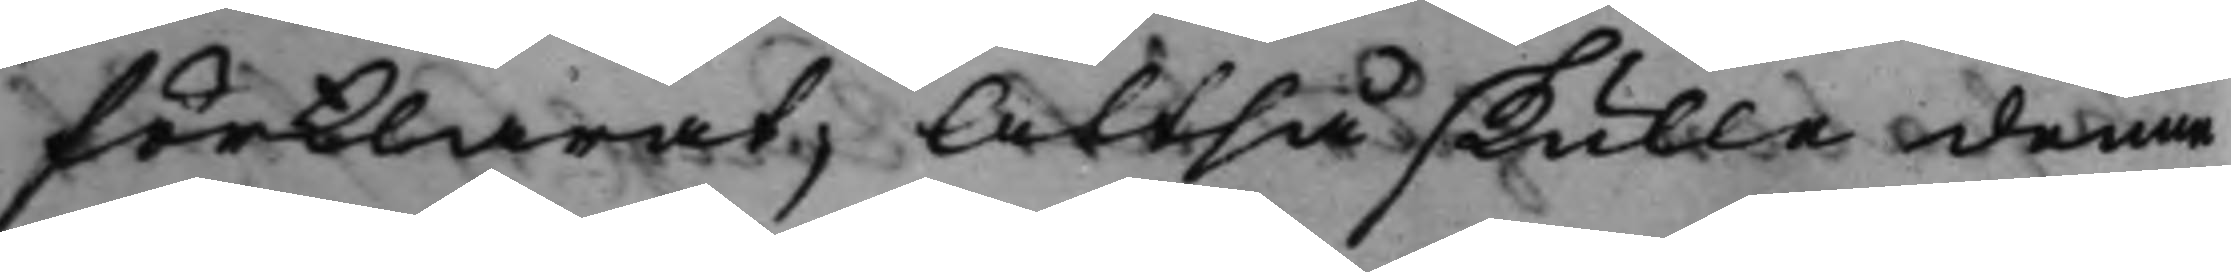förklarat; Altså skulle denne
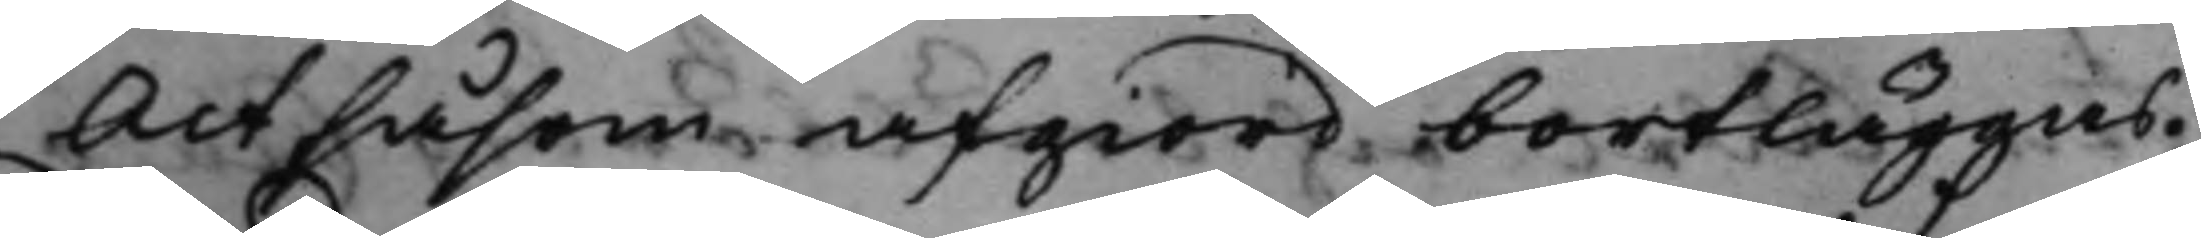Act såsom afgiord bortläggas.
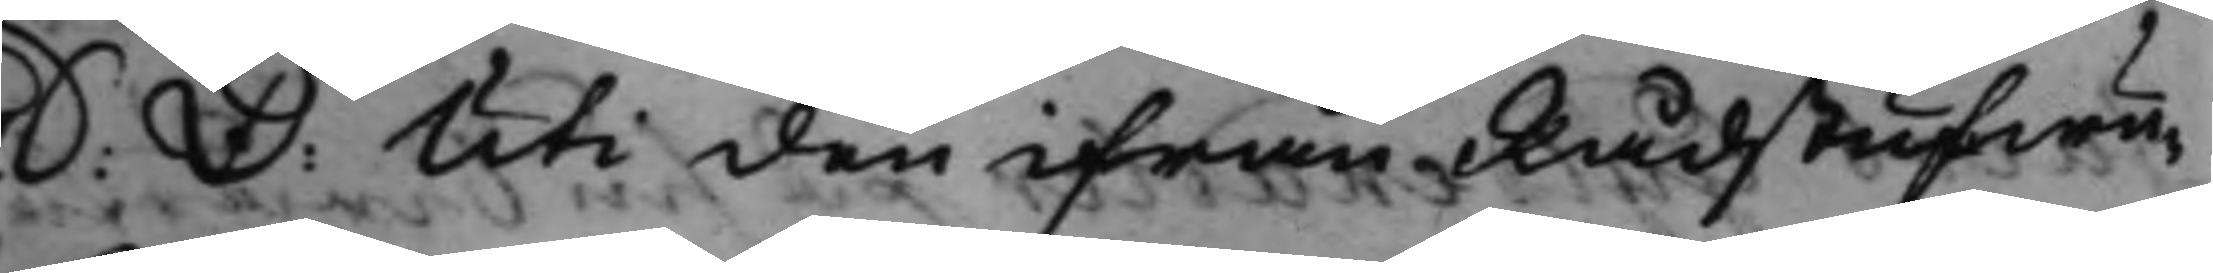S: D: Uti den ifrån Rådstufwu¬ 
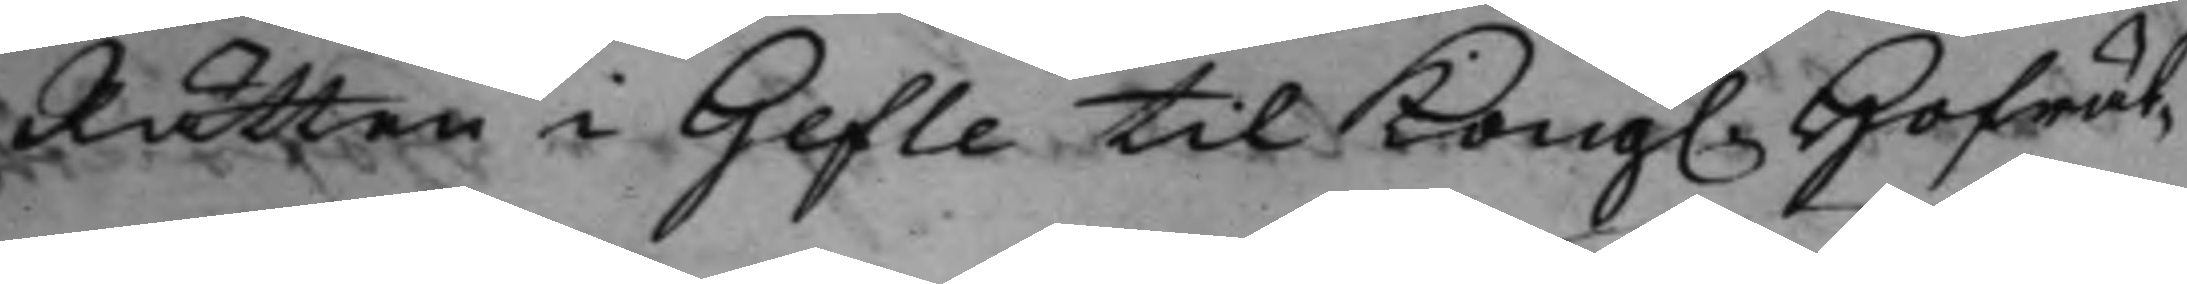Rätten i Gefle til Kong. Hofrät¬ 
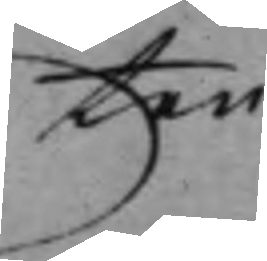ten
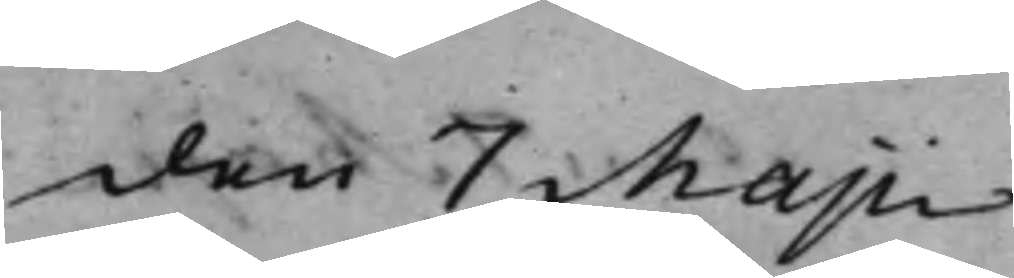den 7 Majii
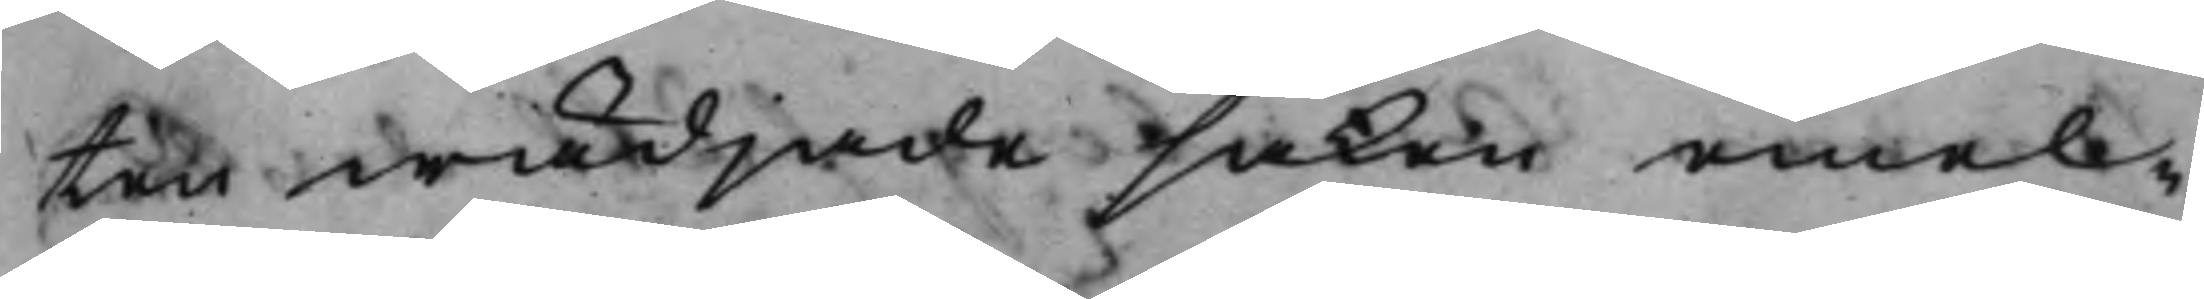ten wädjade saken emel¬
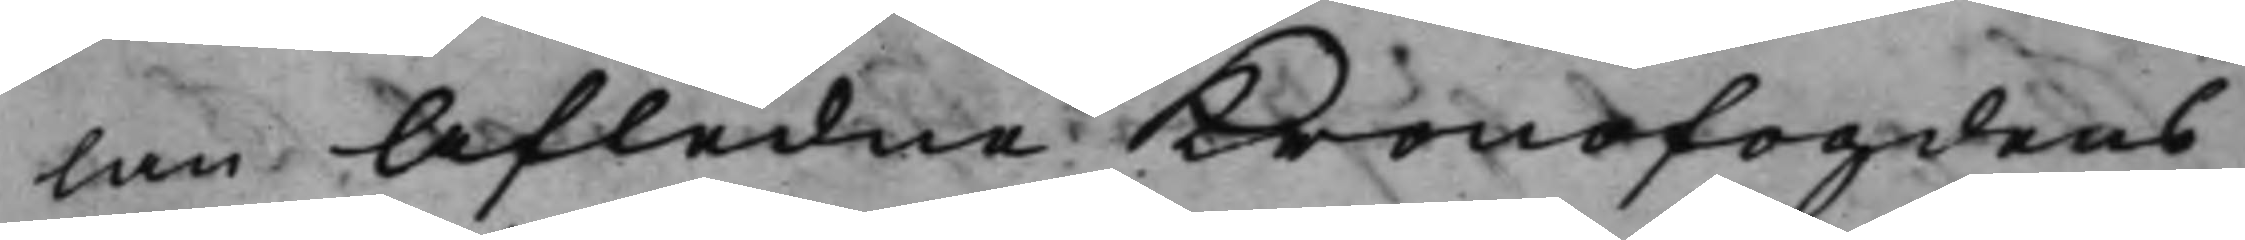lan afledne Kronofogdens
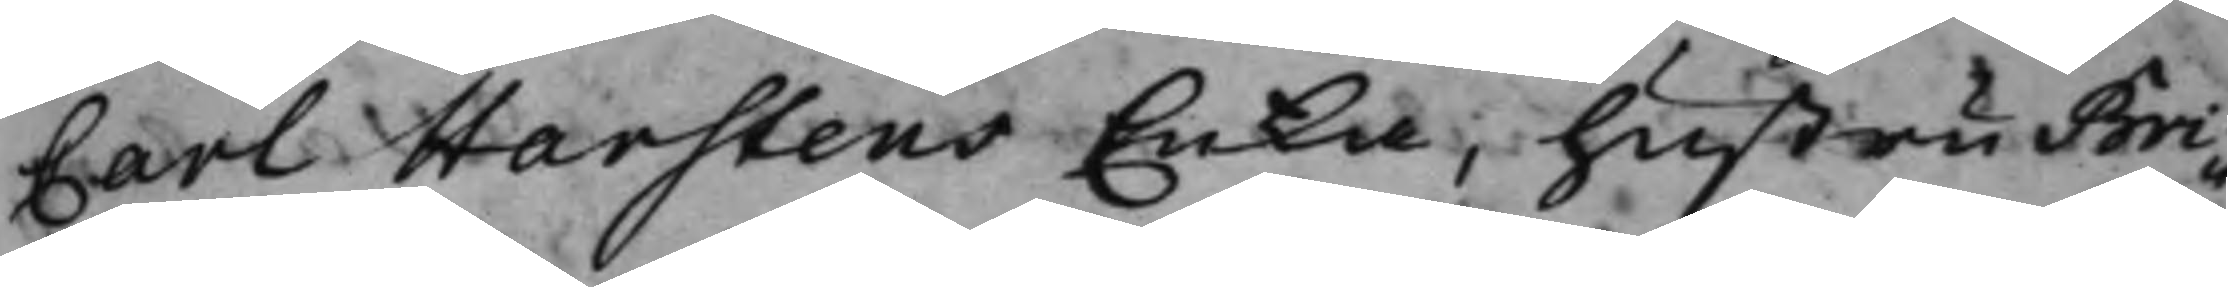Carl Harstens Enka, hustru Bri¬
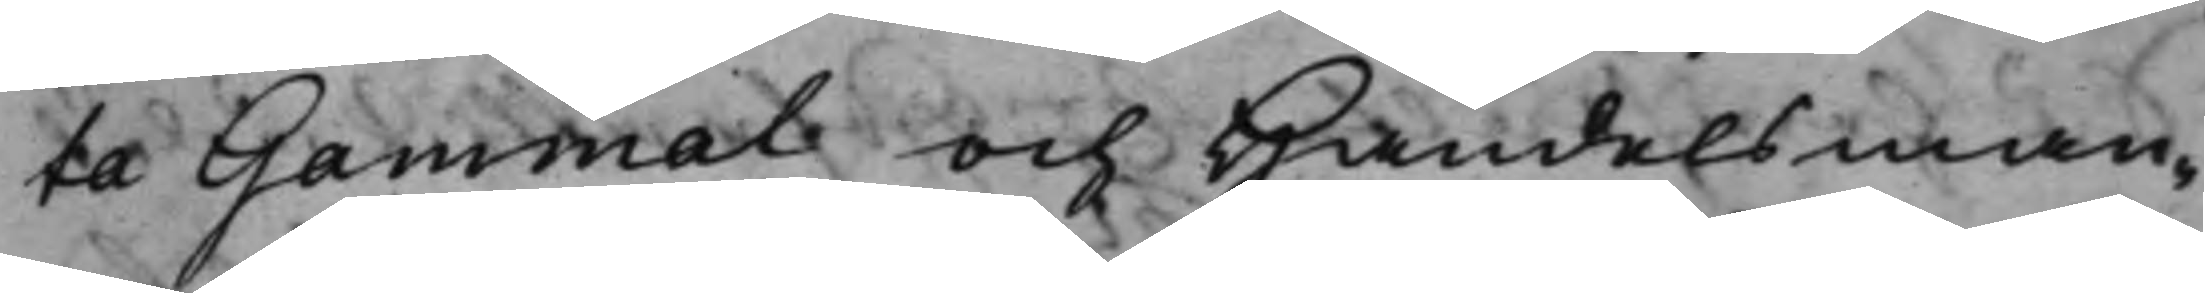ta Gammal och Handelsman¬
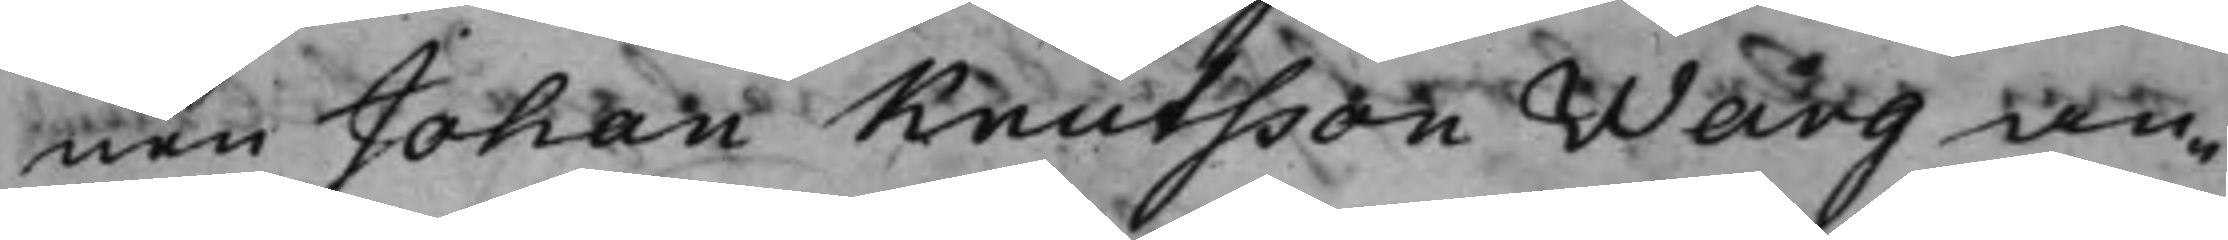nen Johan Knutsson Warg an¬
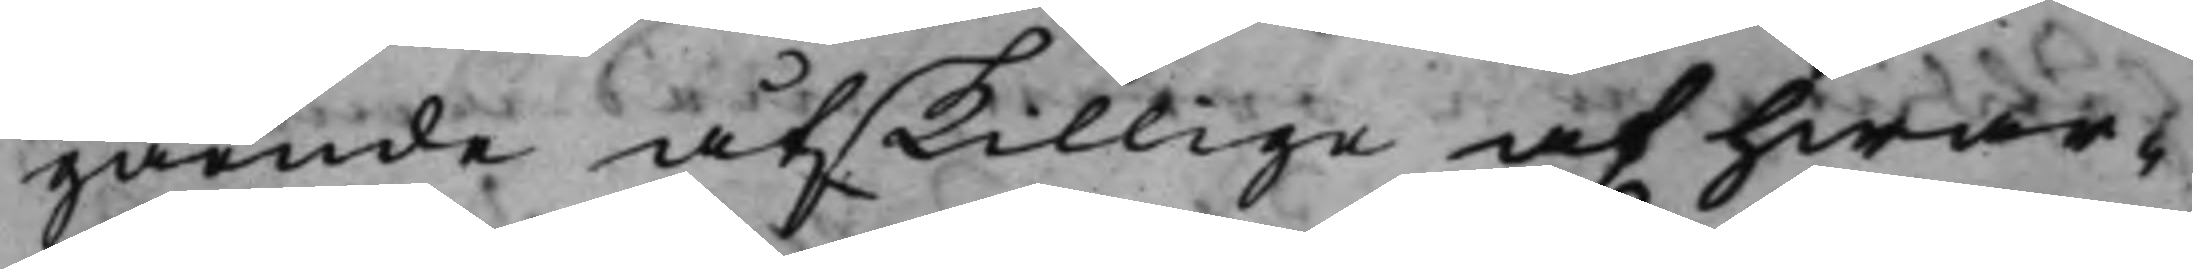gående åtskillige af hwar¬
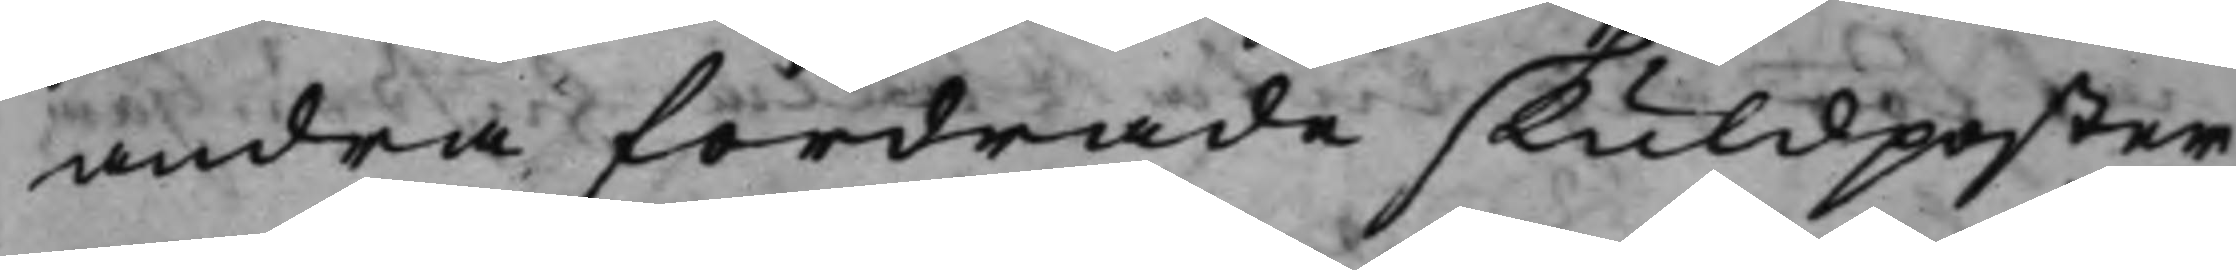andra fordrade skuldposter
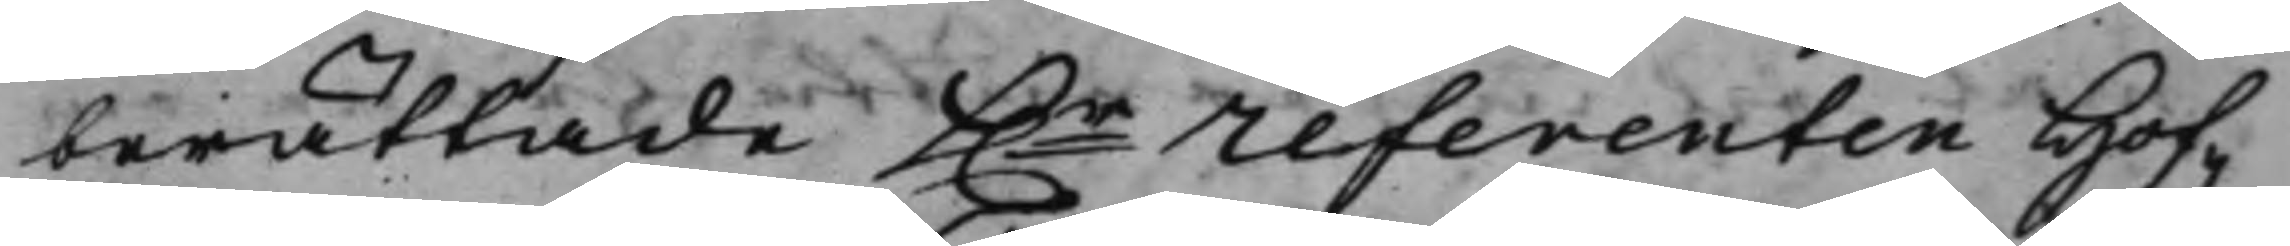berättade h.r referenten Hof¬ 
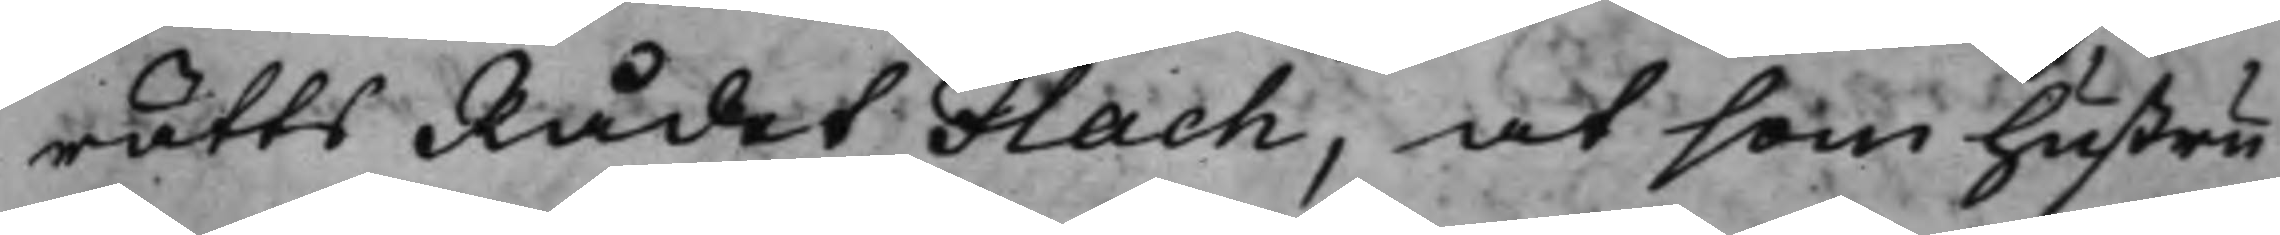rätts Rådet Flach, at som hustru
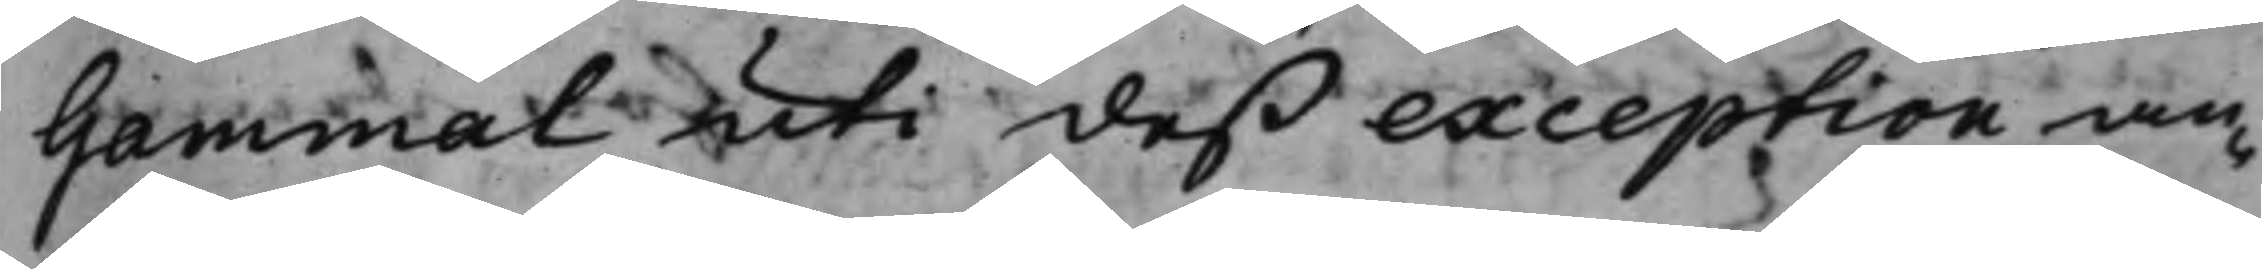Gammal uti deß exception an¬
